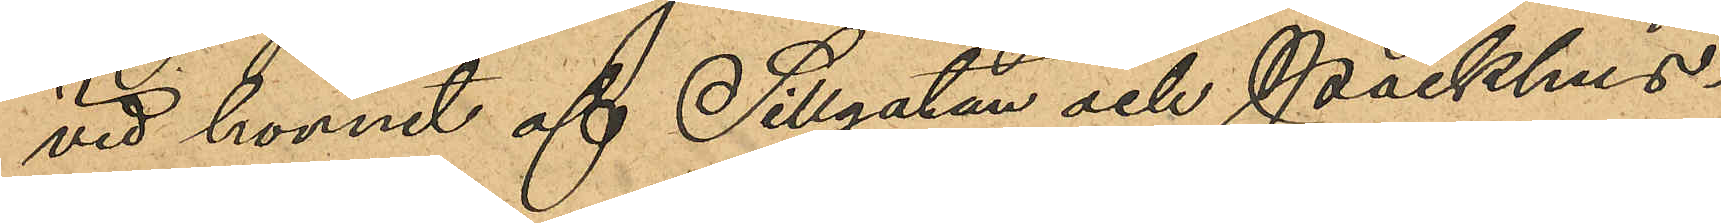vid hörnet af Sillgatan och Packhus¬
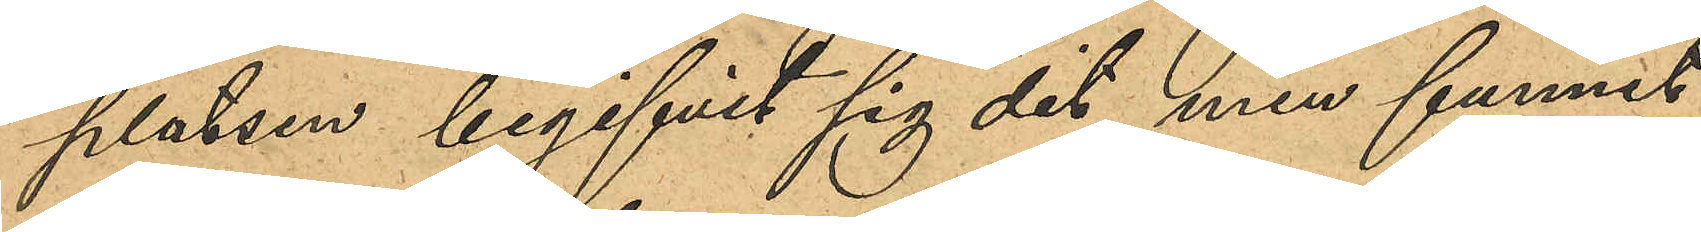platsen begifvit sig dit, men funnit
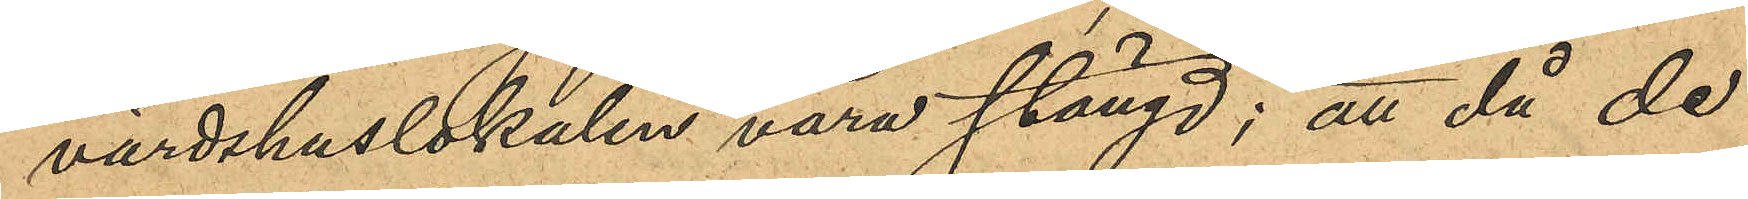värdshuslokalen vara stängd; att då de
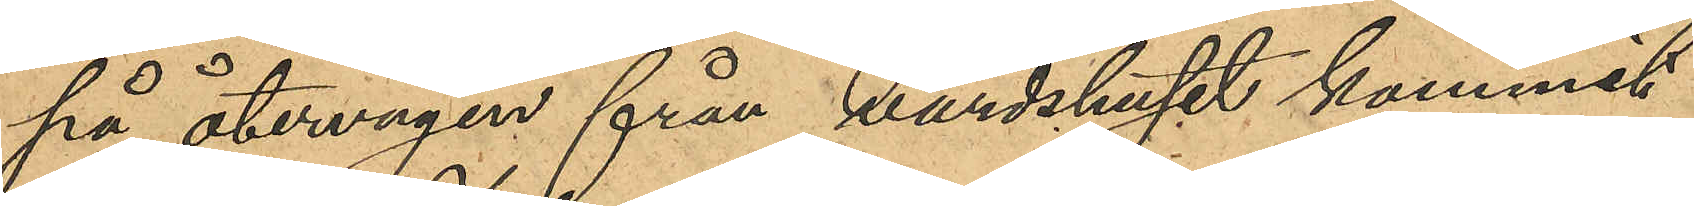på återvägen från värdshuset kommit
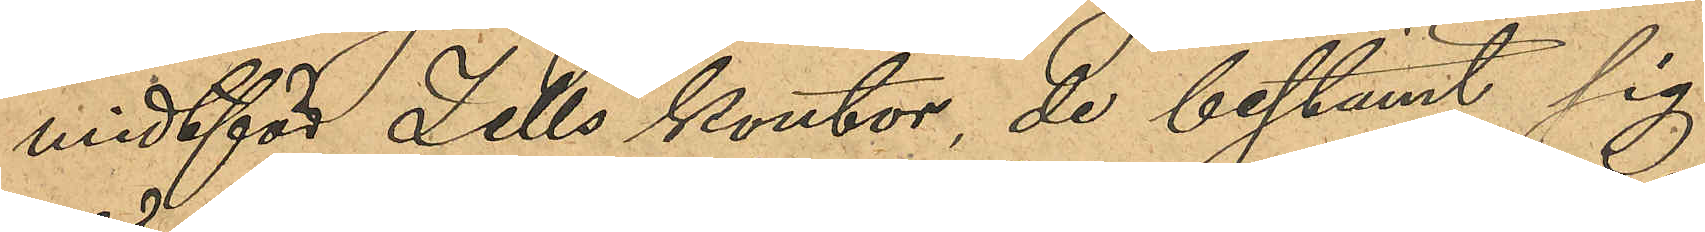midtför Zells kontor, de bestämt sig
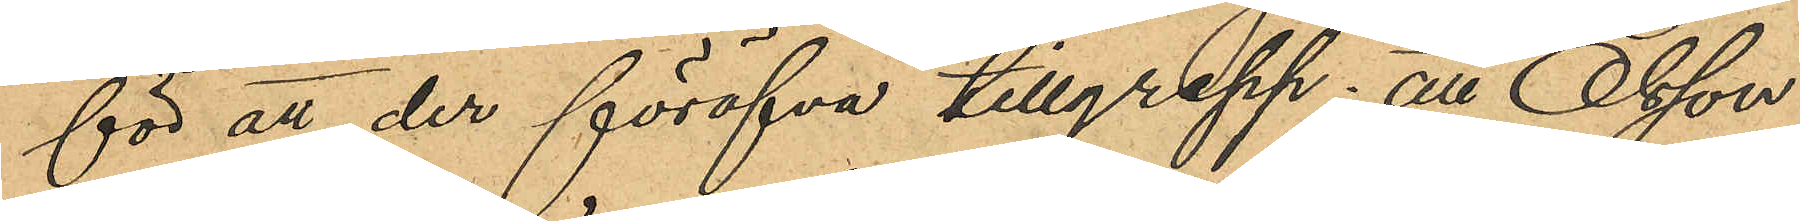för att der föröfva tillgrepp; att Olsson
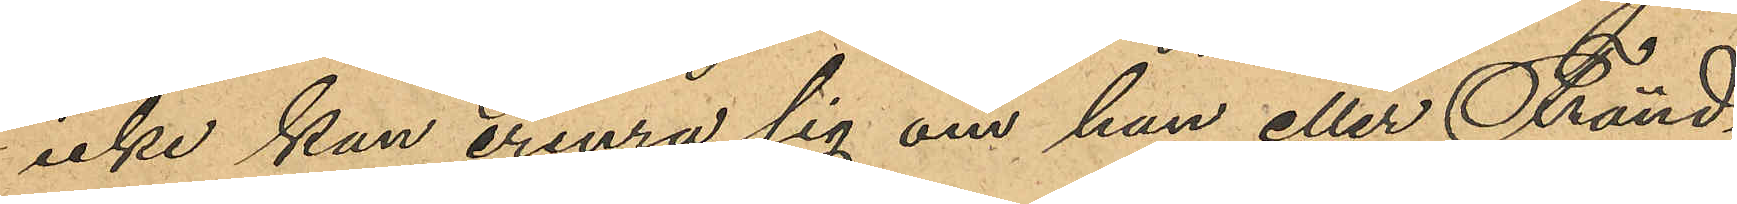icke kan erinra sig om han eller Fränd¬
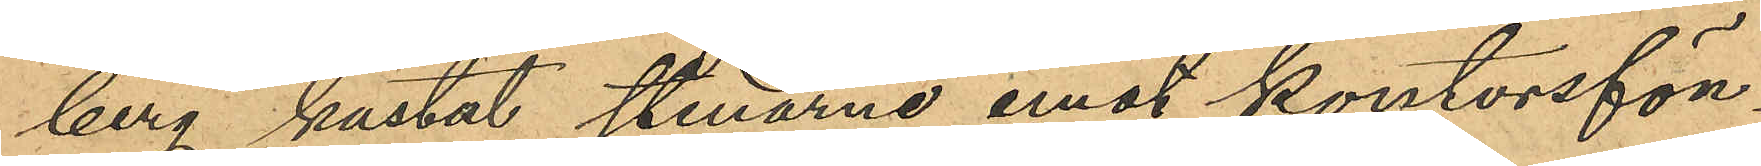berg kastat stenarne emot kontorsfön¬
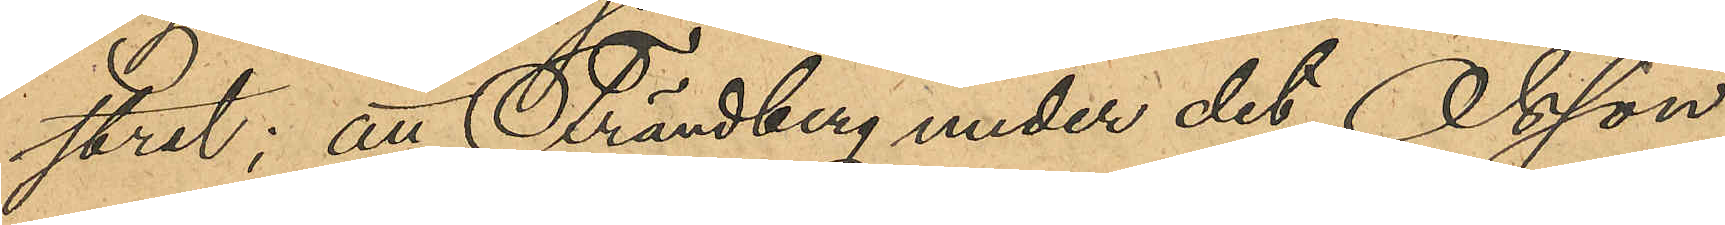stret; att Frändberg under det Olsson
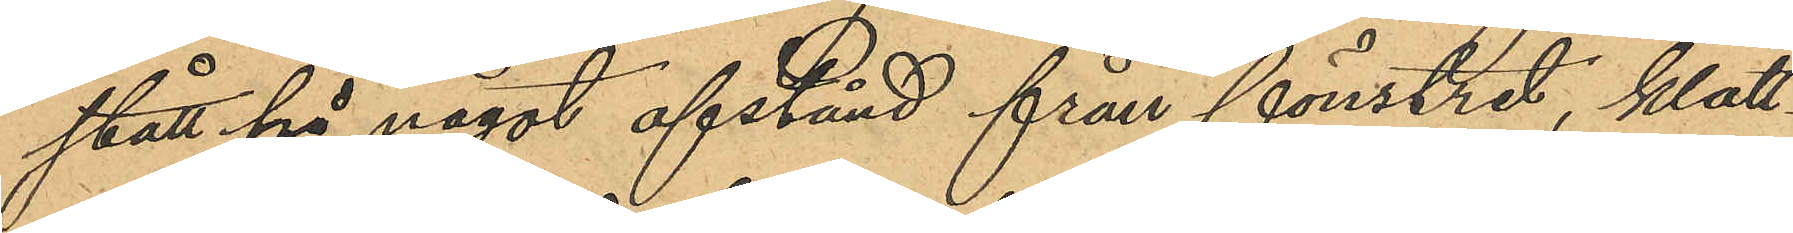stått på något afstånd från fönstret, klätt¬
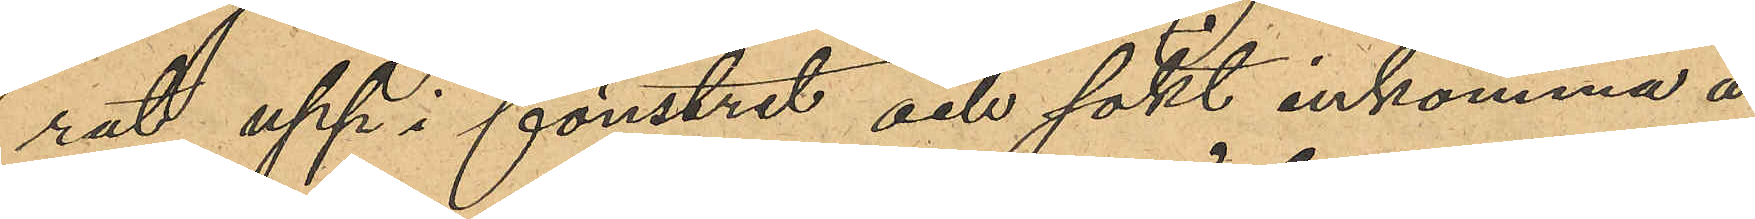rat upp i fönstret och sökt inkomma å
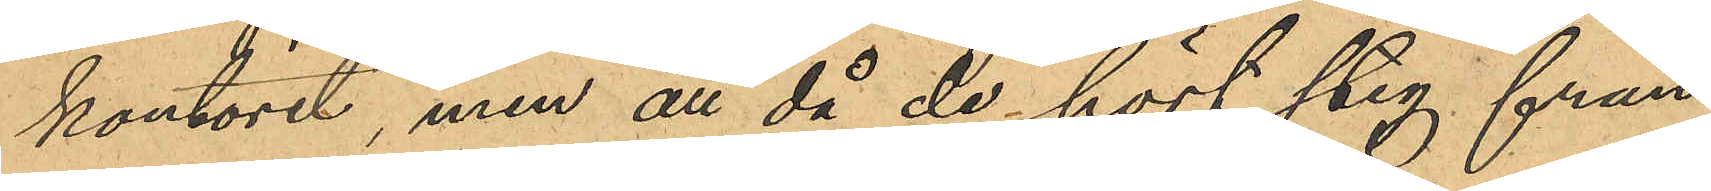kontoret, men att då de hört steg från
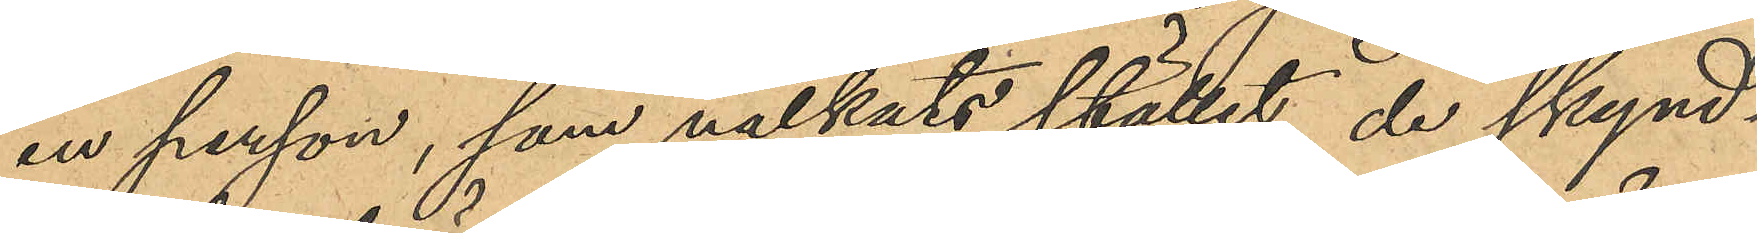en person, som nalkats stället, de skynd¬
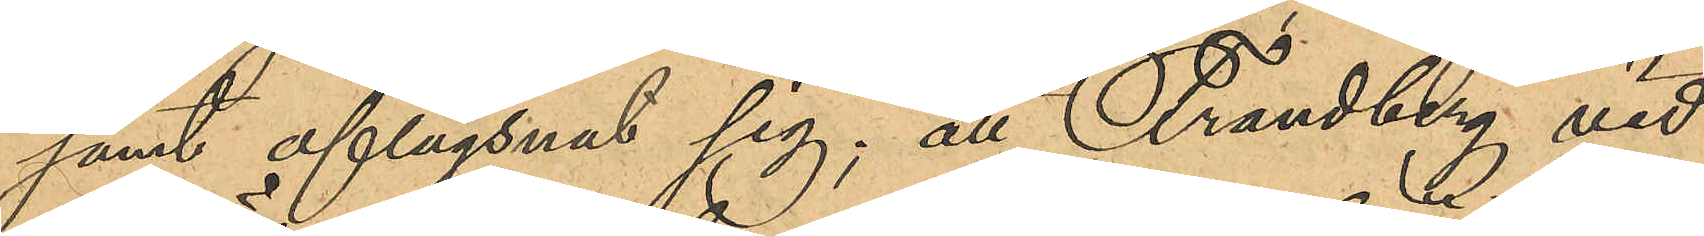samt aflägsnat sig; att Frändberg vid
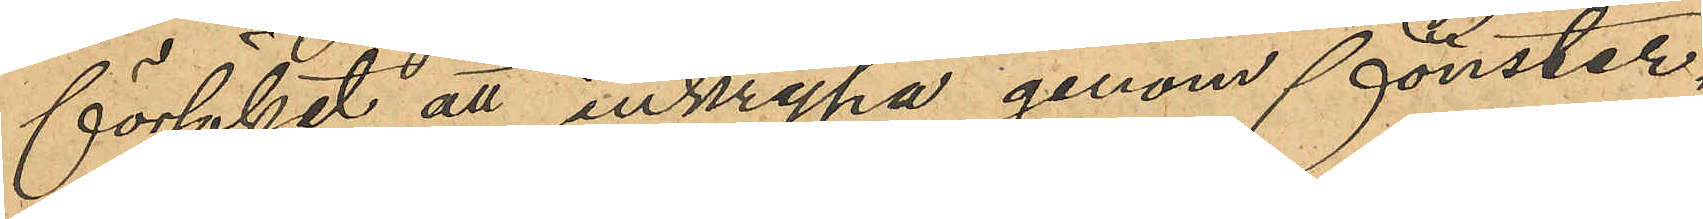försöket att inkrypa genom fönster¬
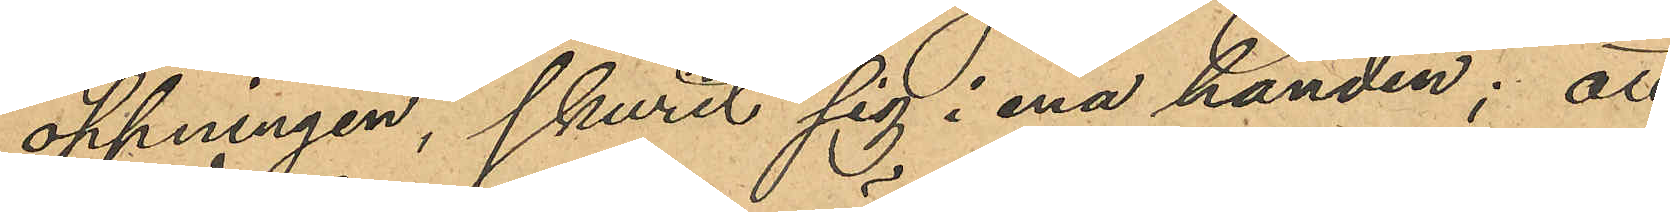öppningen, skurit sig i ena handen; att
